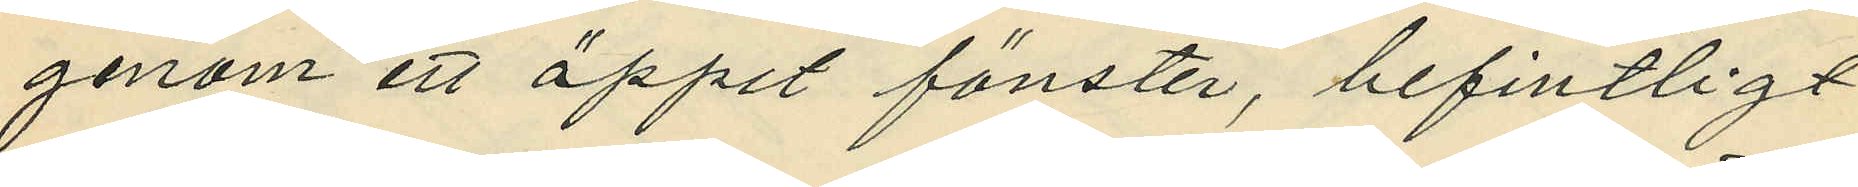genom ett öppet fönster, befintligt
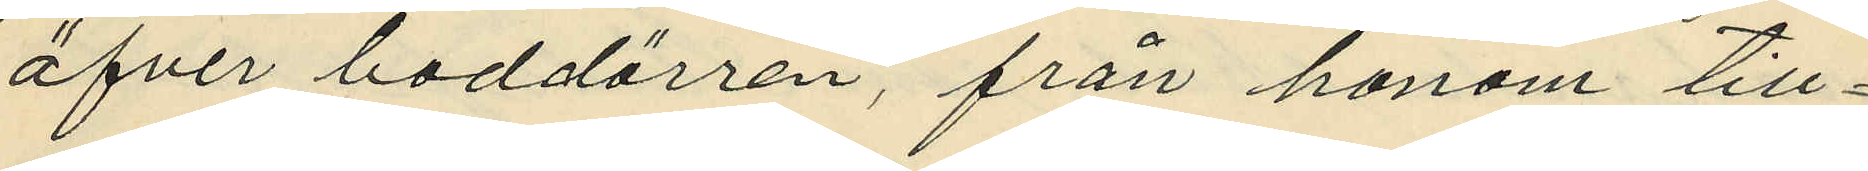öfver boddörren, från honom till¬
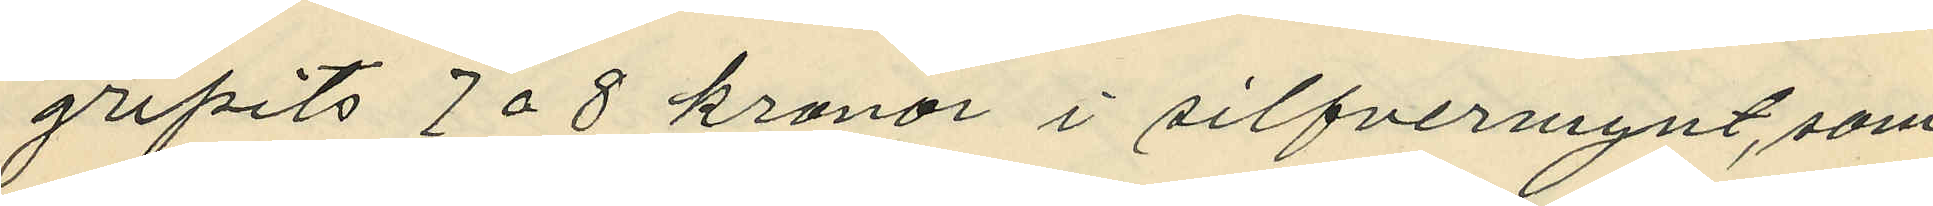gripits 7 a 8 kronor i silfvermynt, som
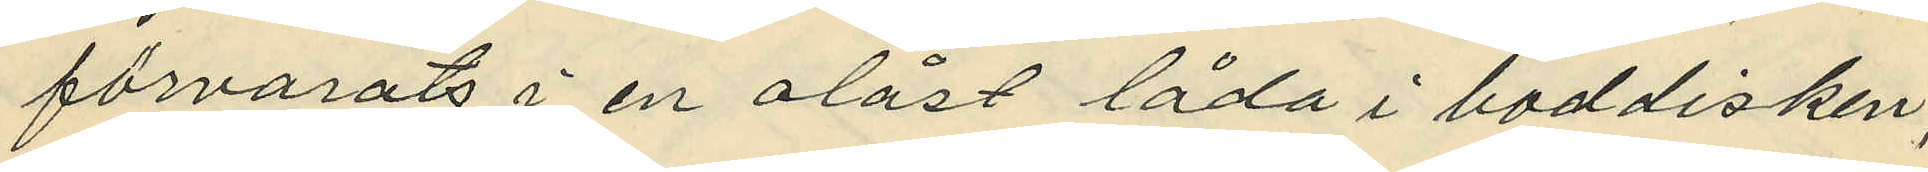förvarats i en olåst låda i boddisken;
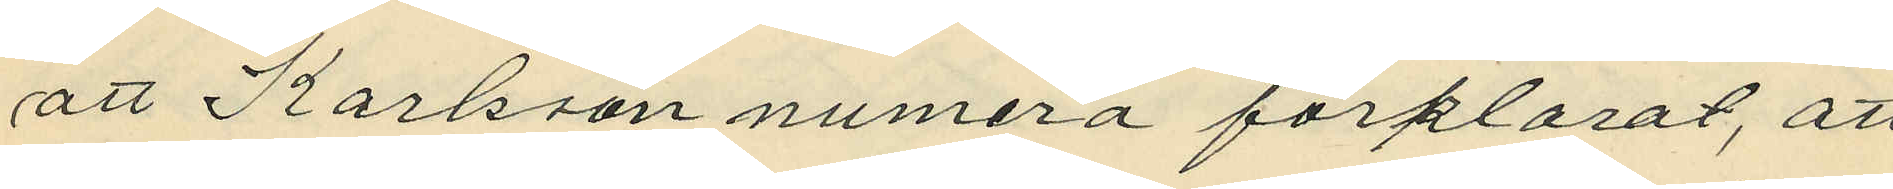att Karlsson numera förklarat, att
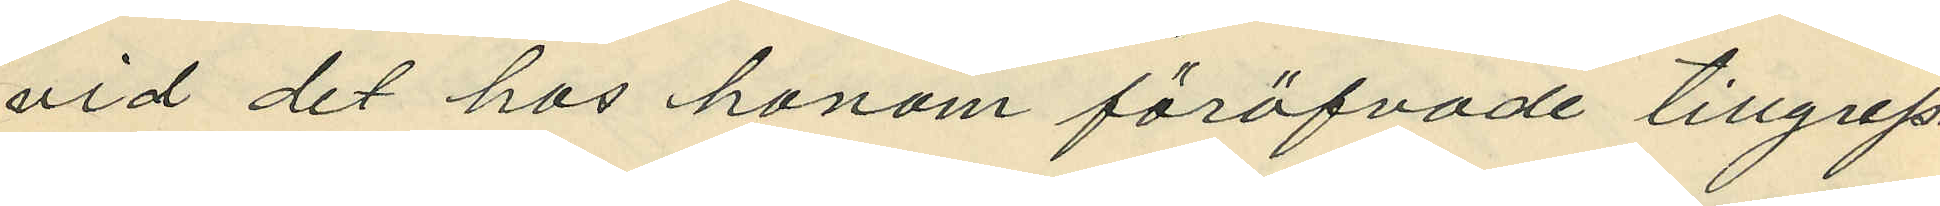vid det hos honom föröfvade tillgrep¬
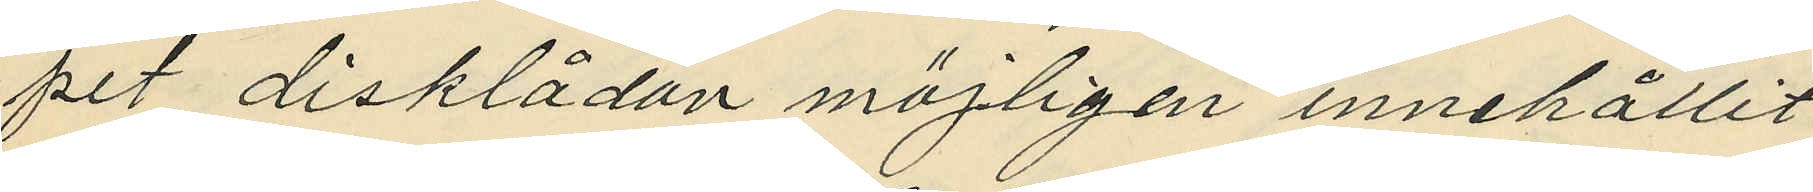pet disklådan möjligen innehållit
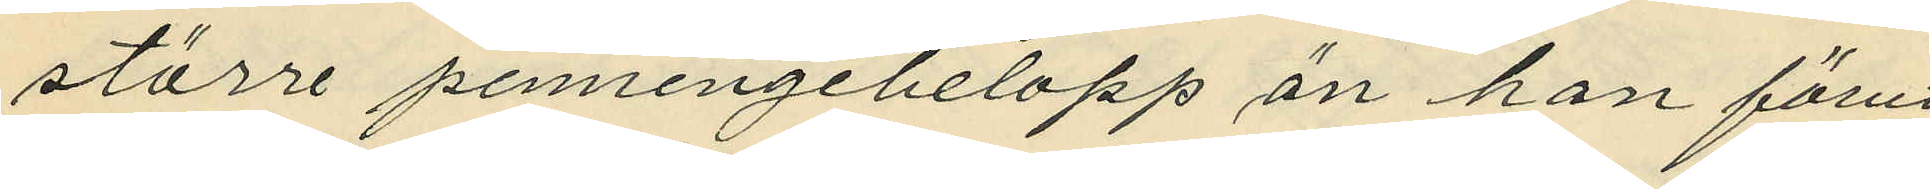större penningbelopp än han förut
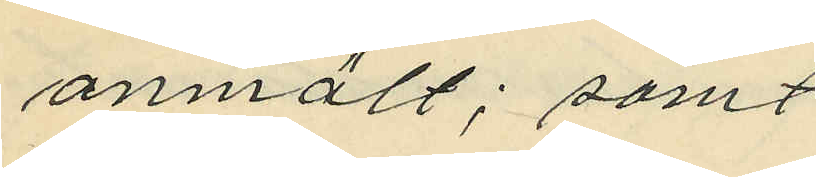anmält; samt
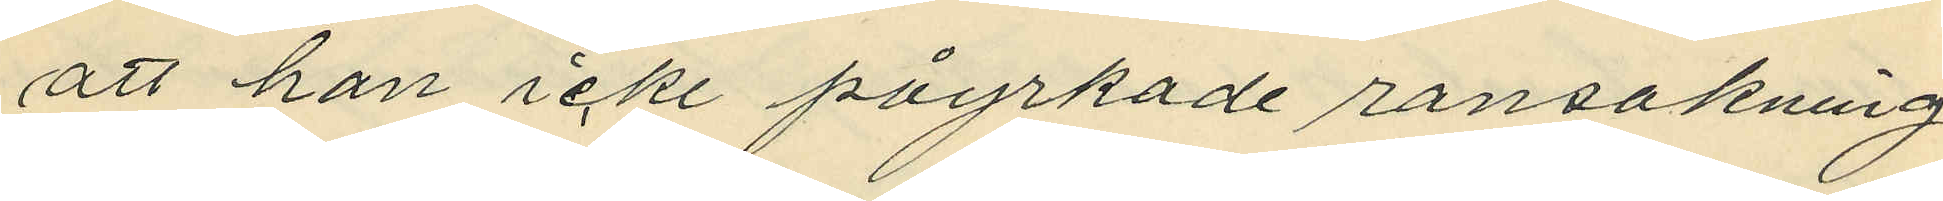att han icke påyrkade ransakning
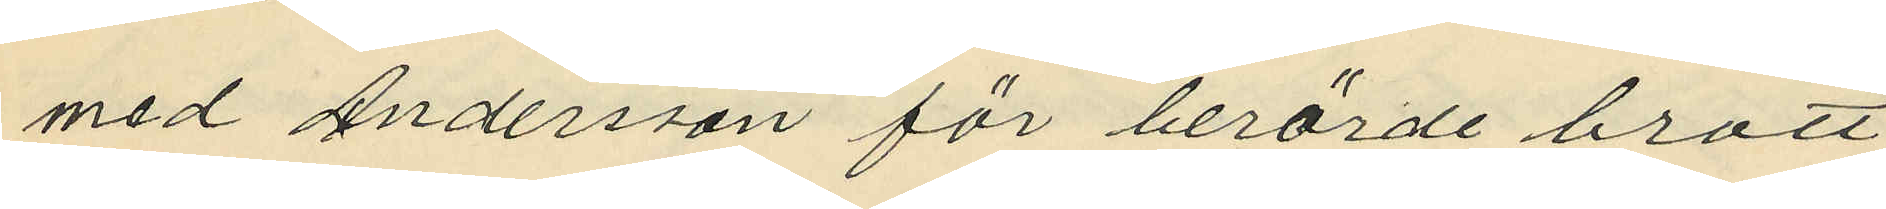med Andersson för berörde brott
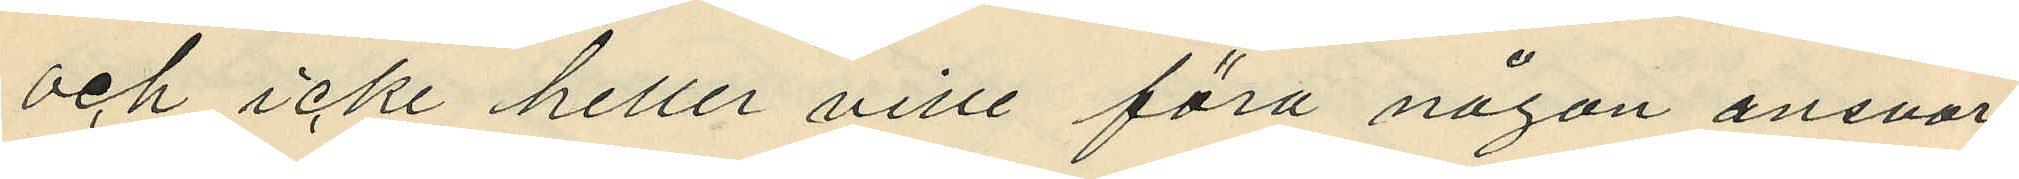och icke heller ville föra någon ansvars
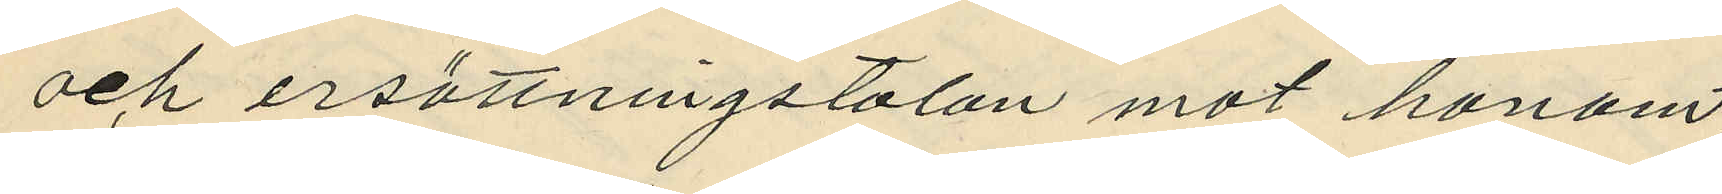och ersättningstalan mot honom;
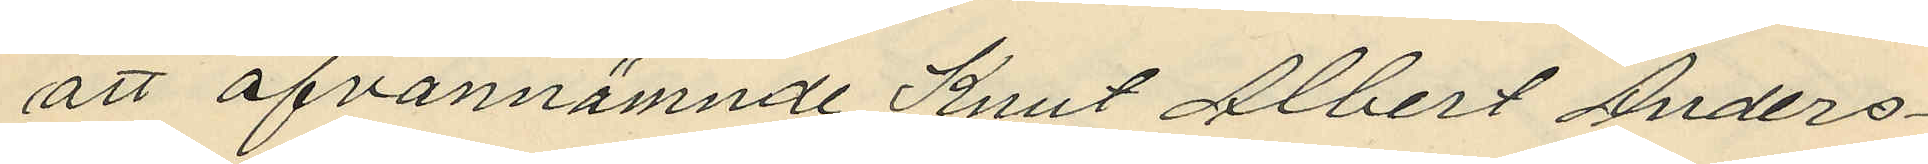att ofvannämnde Knut Albert Anders¬
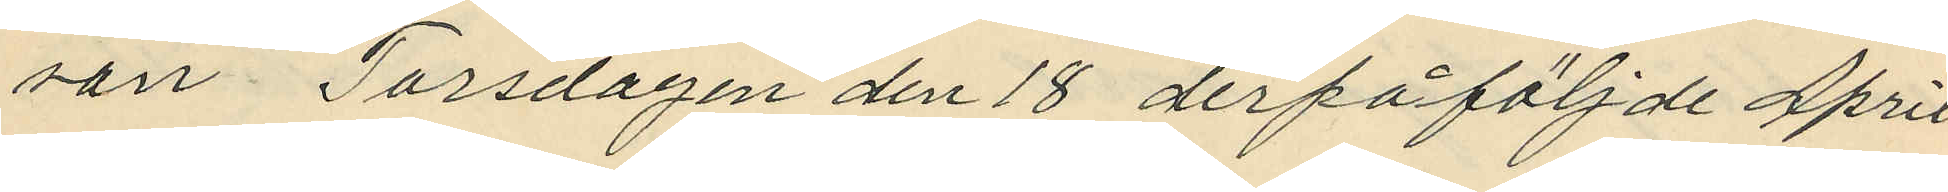son Torsdagen den 18 derpåföljde April
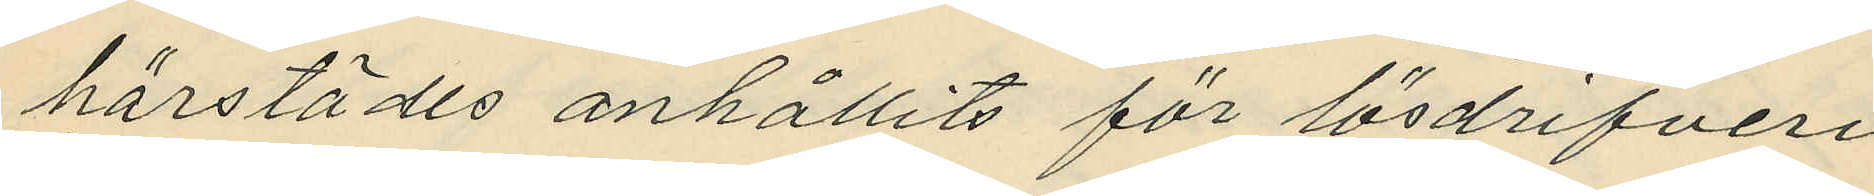härstädes anhållits för lösdrifveri
